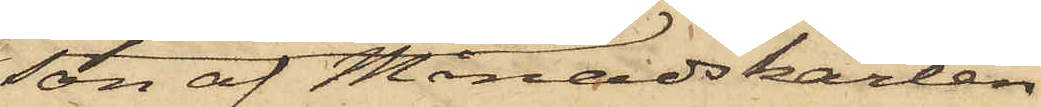son af Månadskarlen
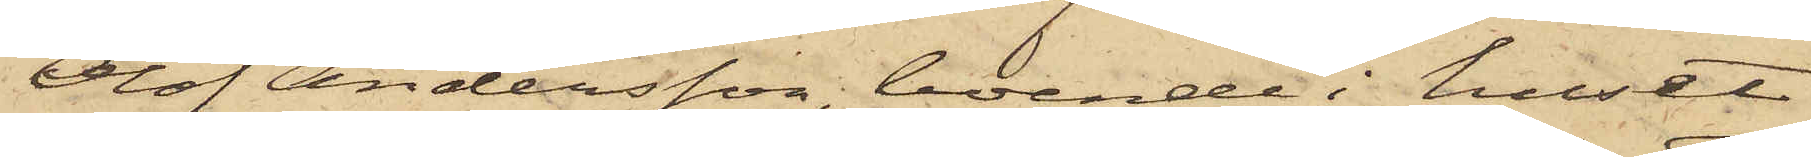Olof Andersson, boende i huset
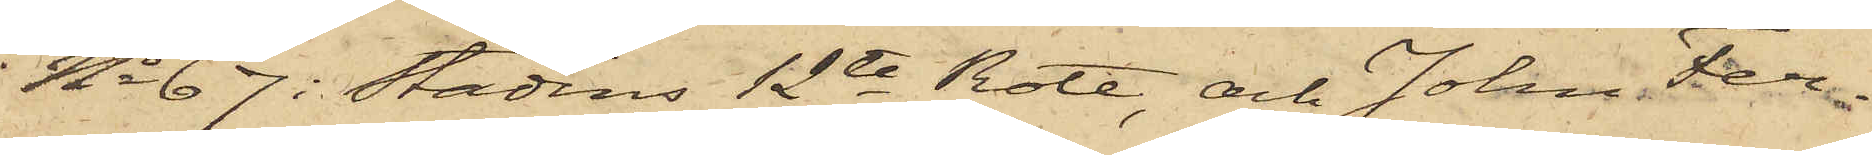No 67 i Stadens 12te Rote, och Johan Fer¬
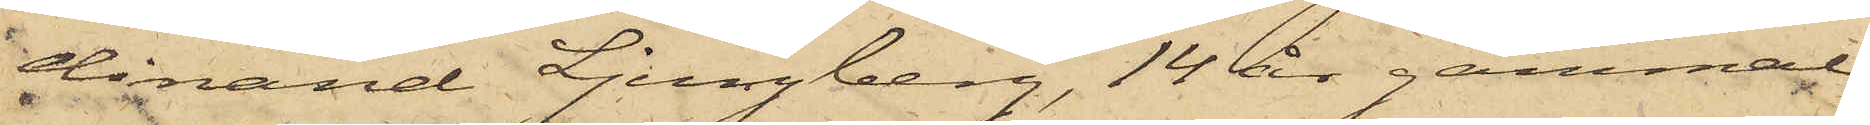dinand Ljungberg, 14 år gammal
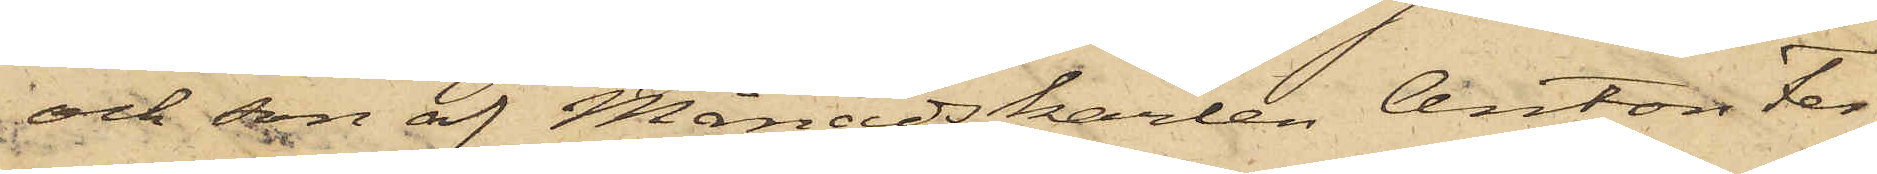och son af Månadskarlen Anton Fer¬
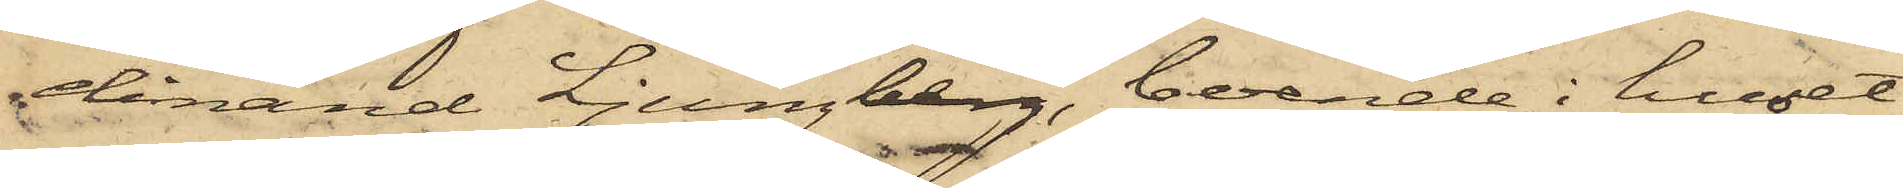dinand Ljungberg, boende i huset
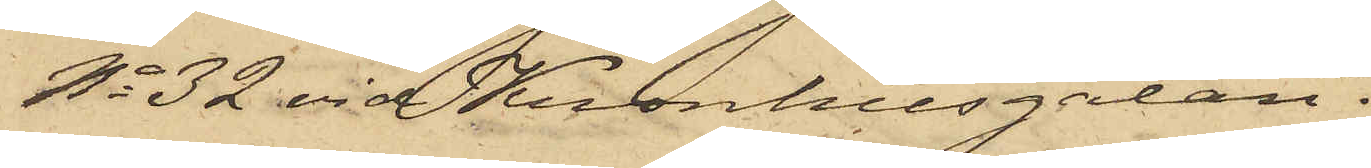No 32 vid Kronhusgatan.
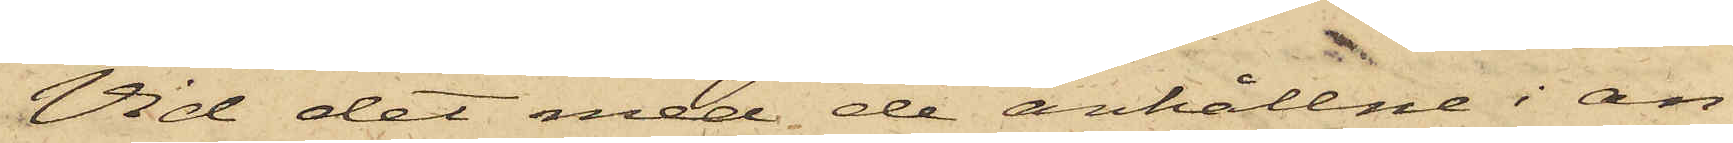Vid det med de anhållne i an¬
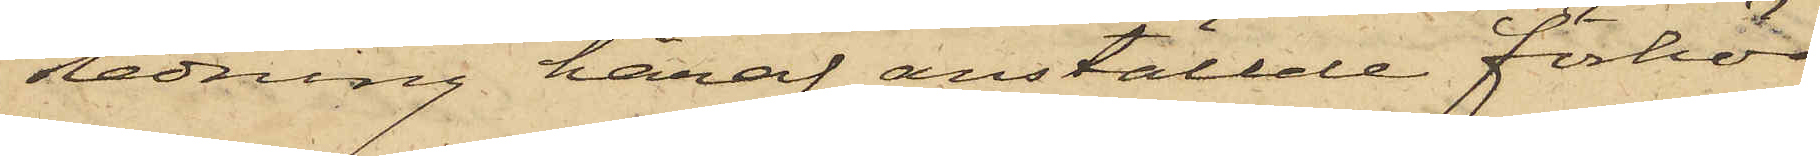ledning häraf anställde förhör
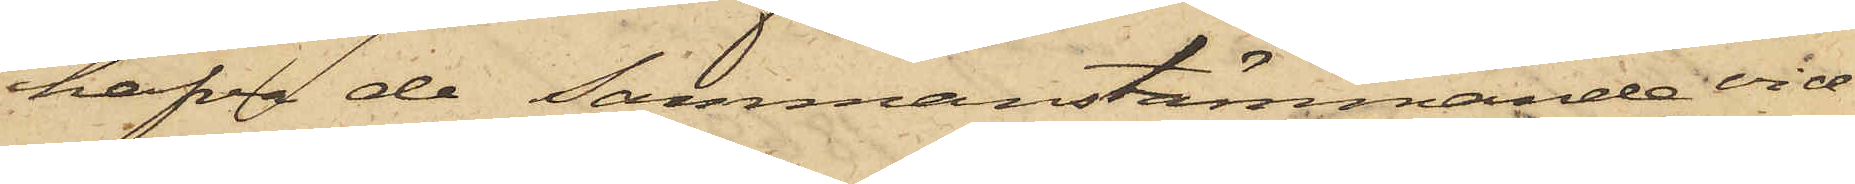hafva de sammanstämmande vid¬
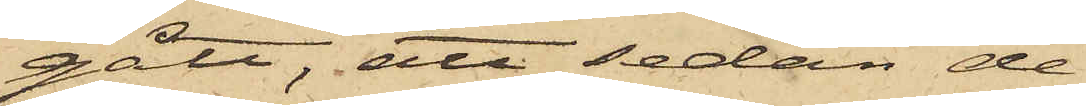gått, att sedan de
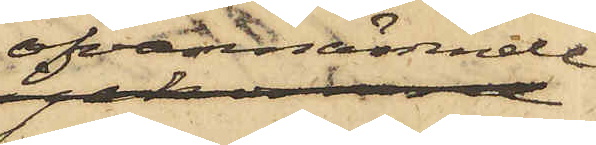ofvannämnde
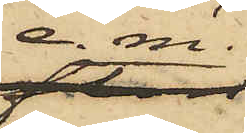e. m.
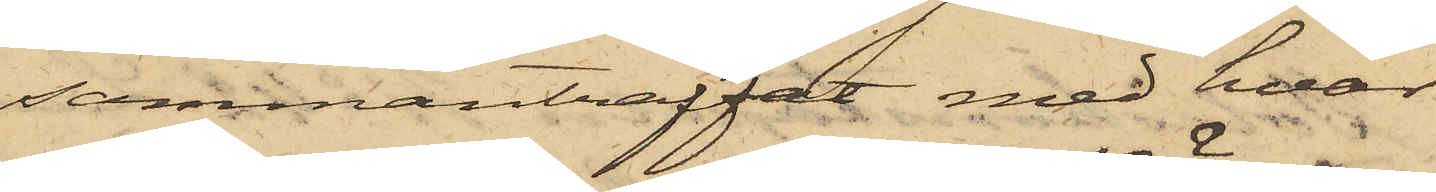sammanträffat med hvar¬
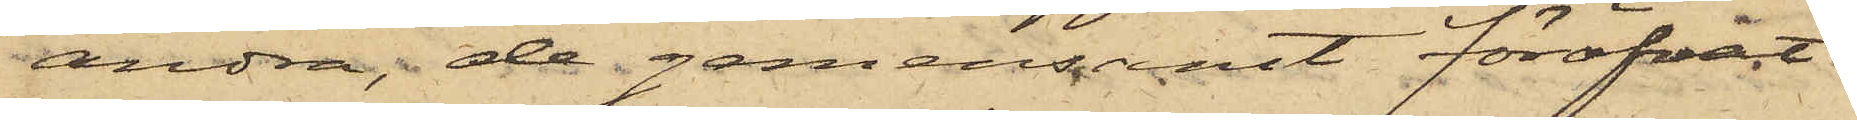andra, de gemensamt föröfvat
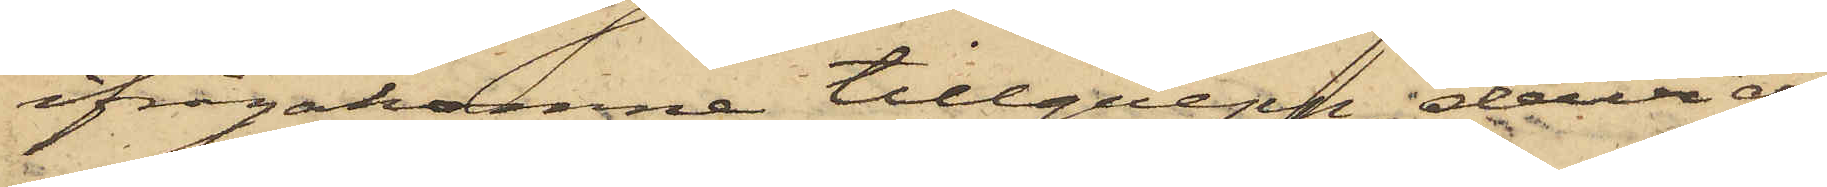ifrågakomne tillgrepp, dervid
